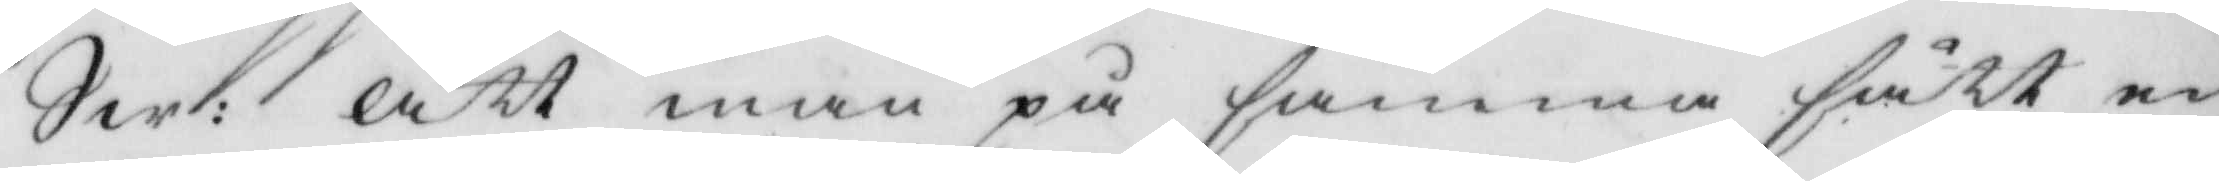Sw: att man på samma sätt en 
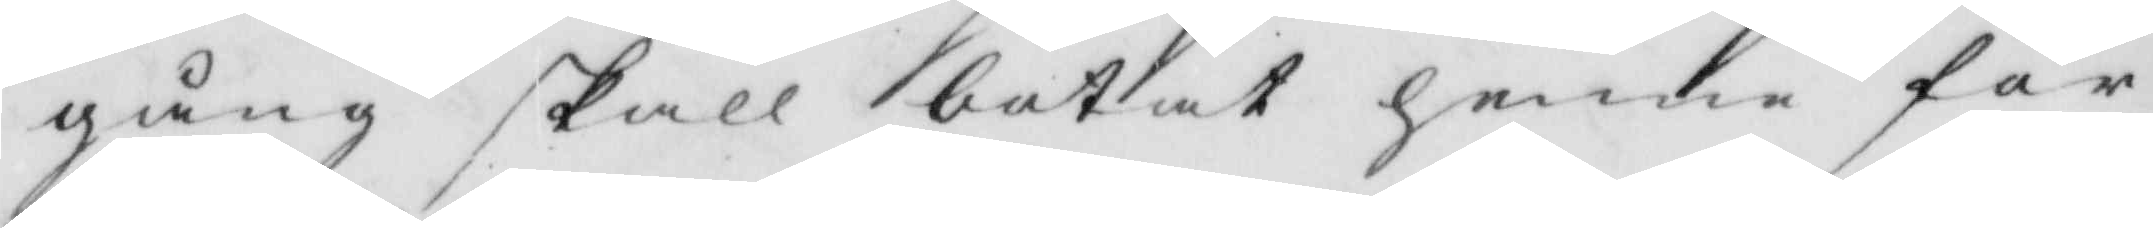gång skall botat henne för
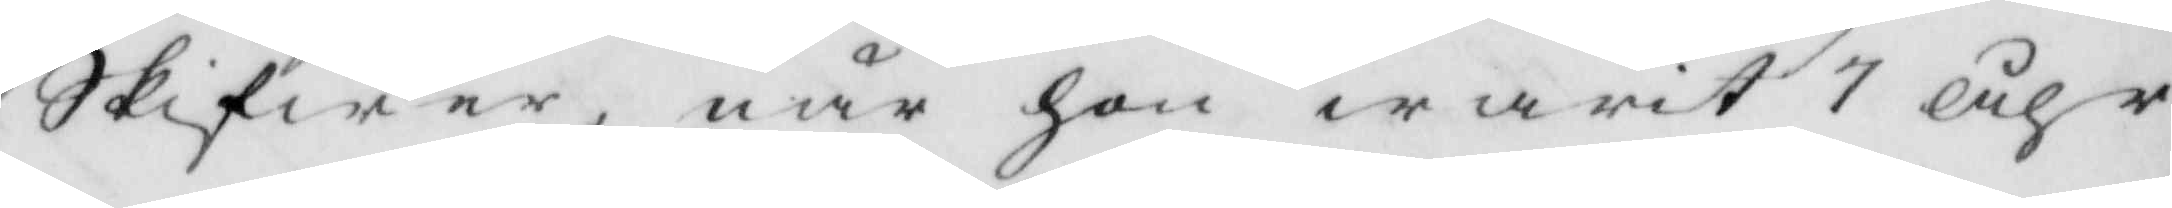Skifwer, när hon warit 1 åhr
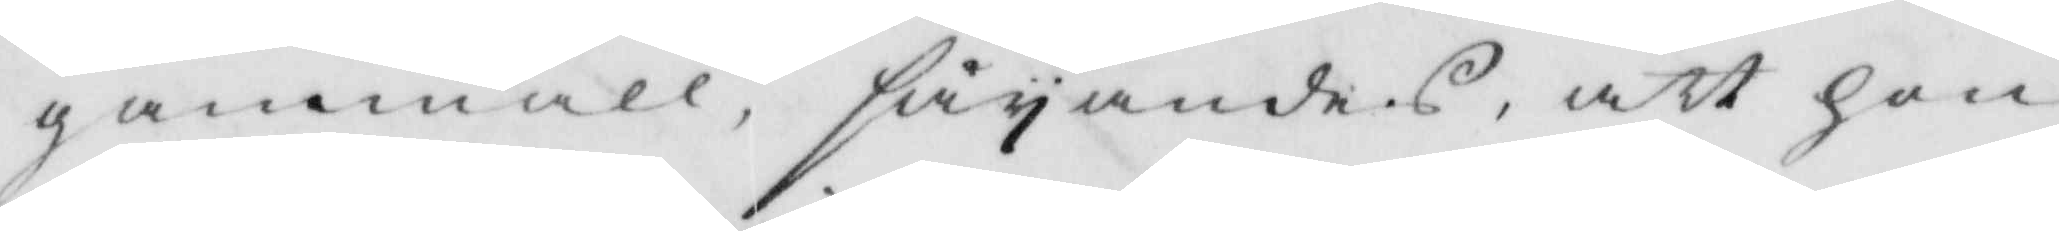gammall, säyandes, att hon
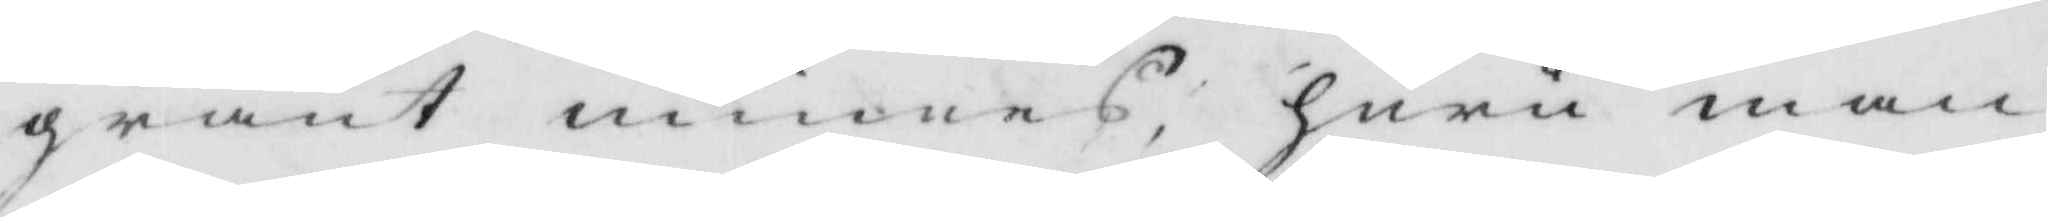grant minnes, huru man
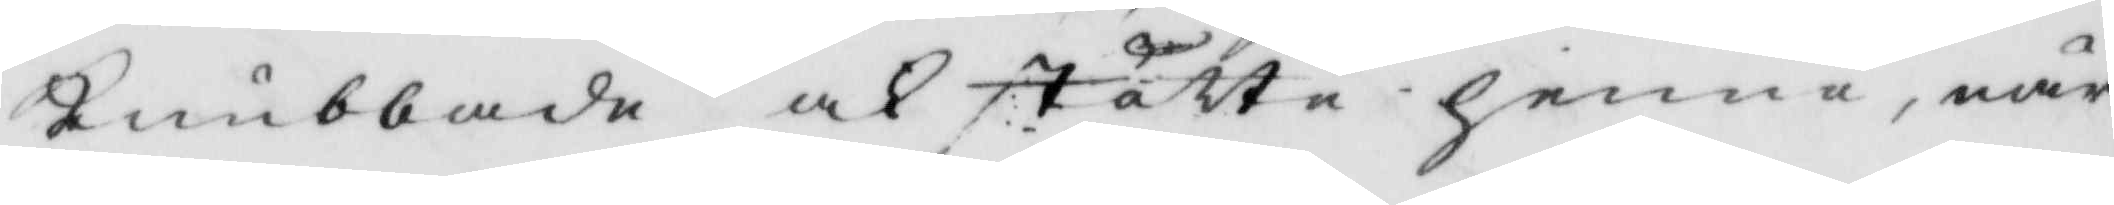knubbade ock stötte henne, när
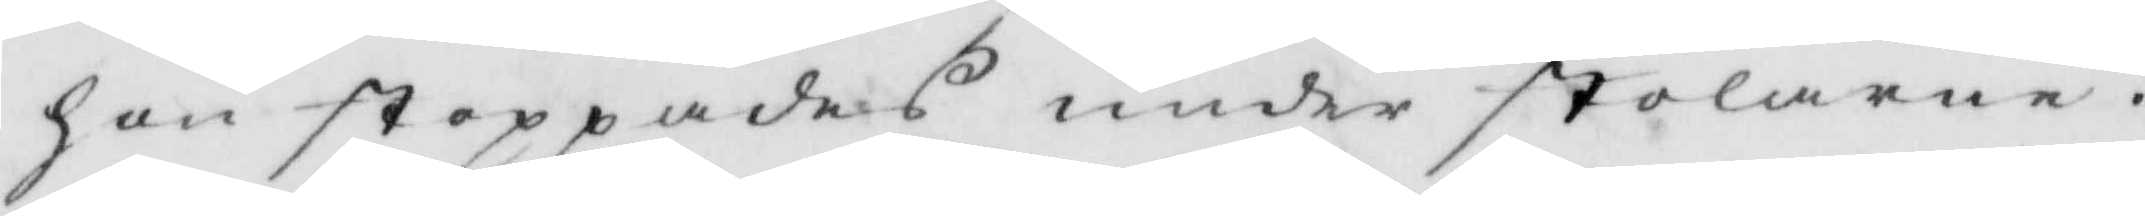han stoppades under stolarne.
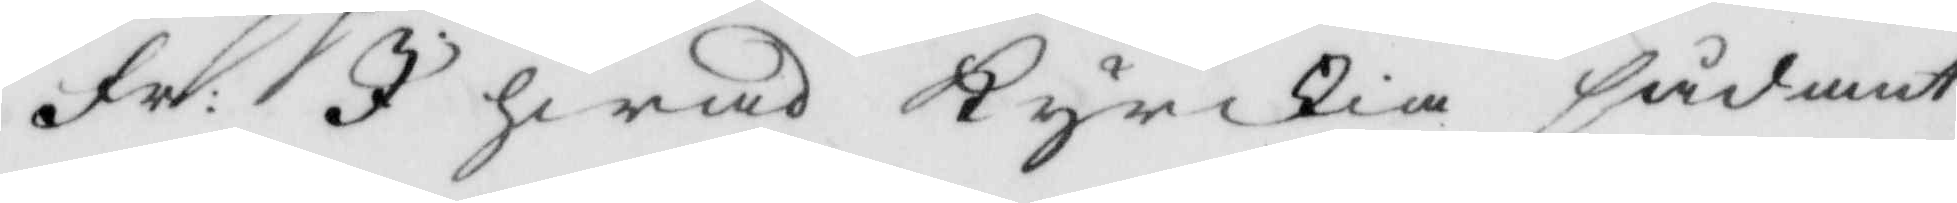Fr: I hwad Kyrkia sådant 
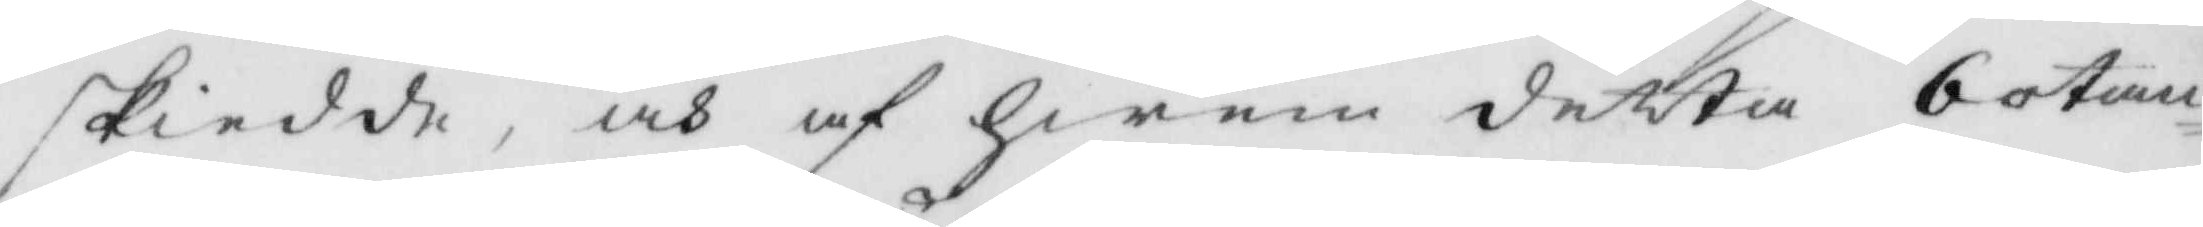skiedde, och af hwem detta botan¬
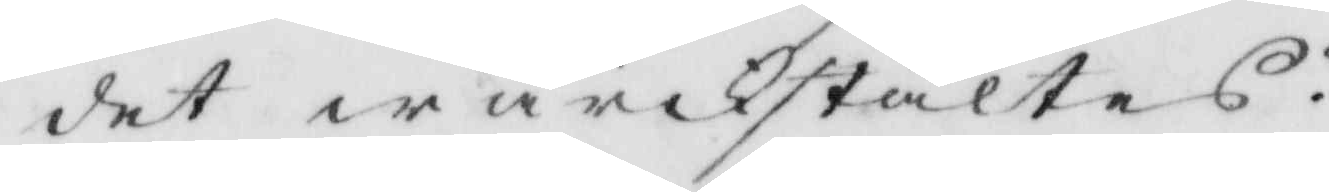det wärkstältes?
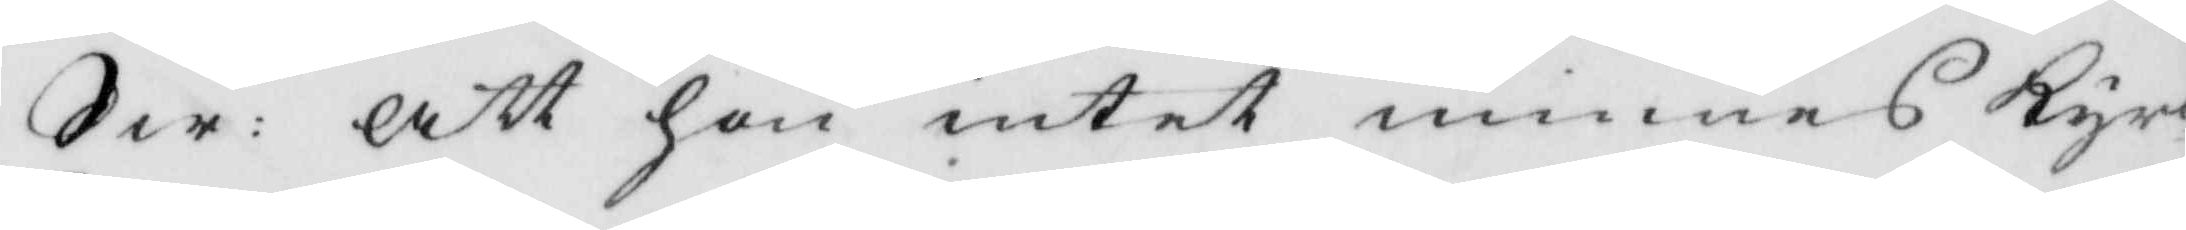Sw: att hon intet minnes Kyr¬ 
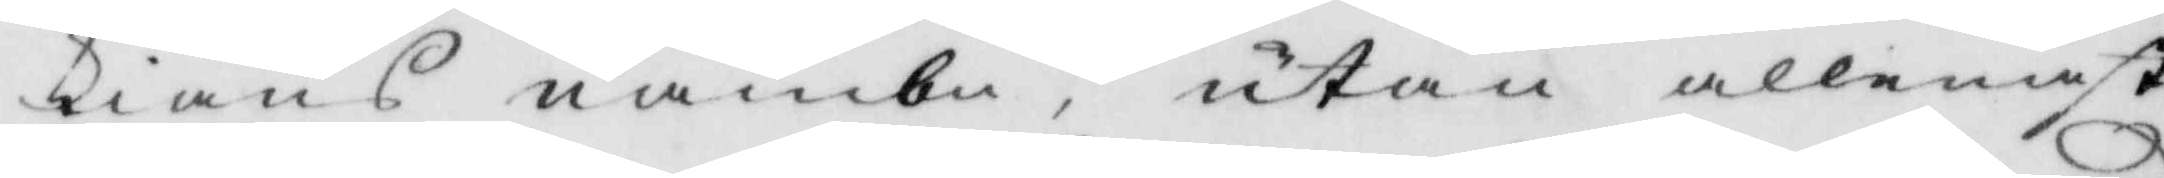kians nambn, utan allenast
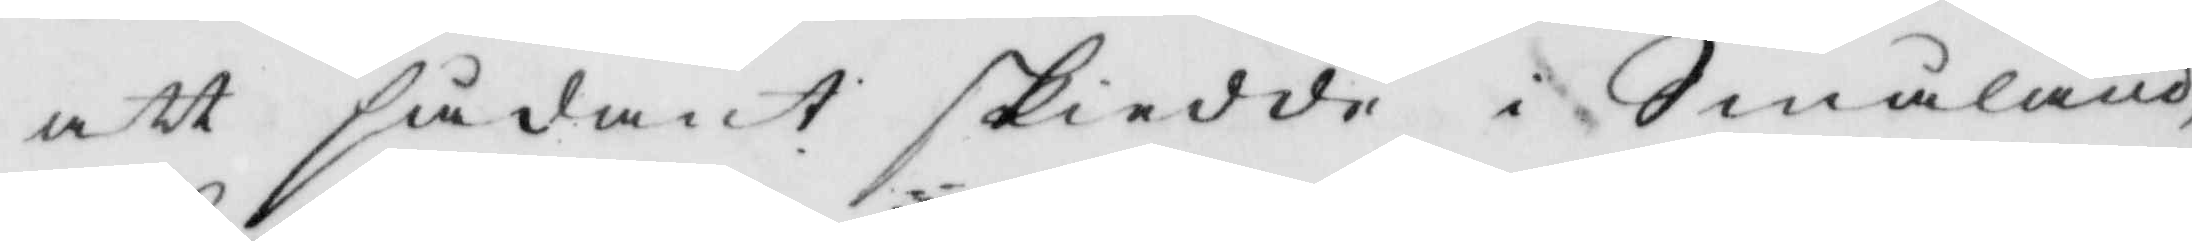att sådant skiedde i Småland,
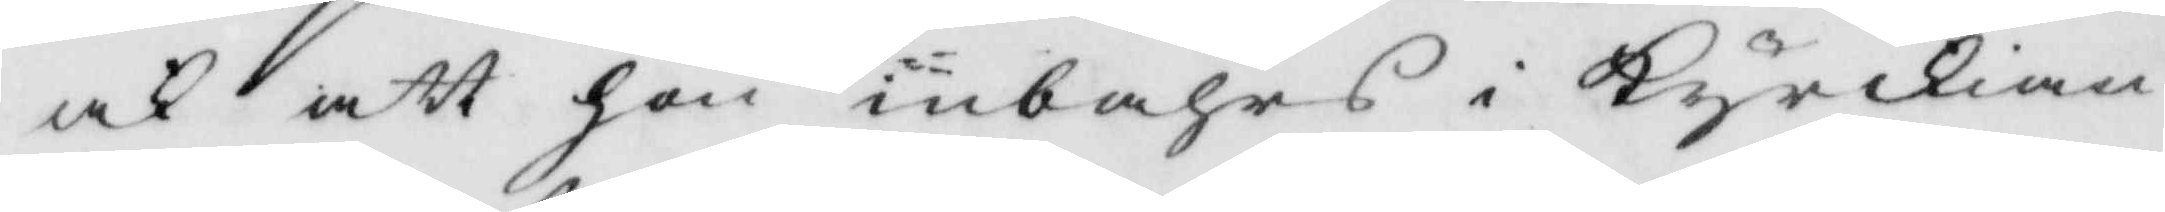ock att hon inbahrs i Kyrkian
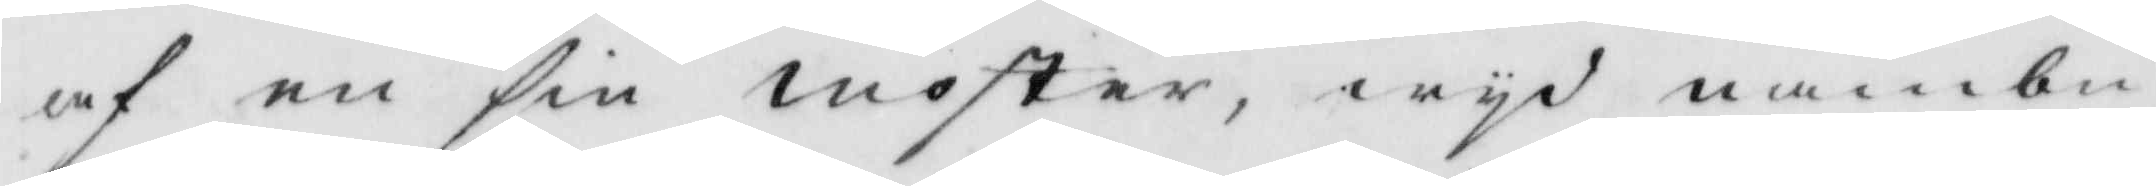af en sin moster, wyd nambn
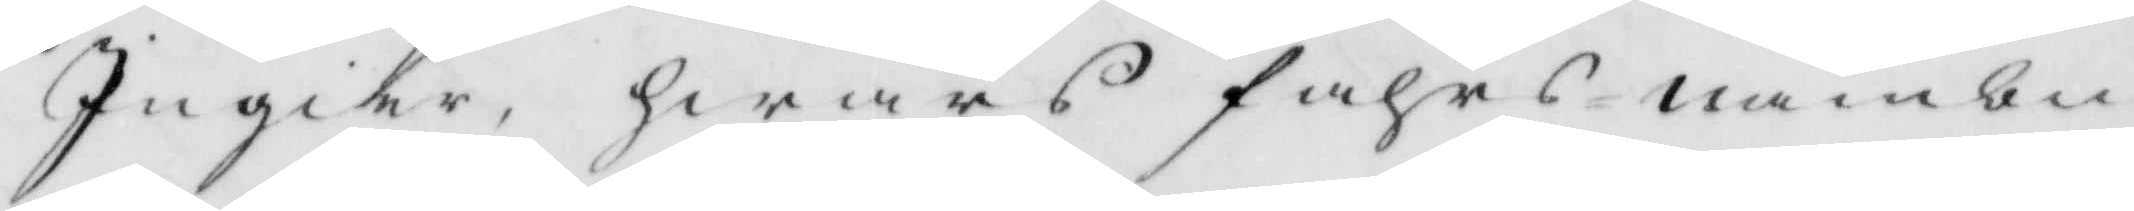Ingier, hwars fahrs nambn
